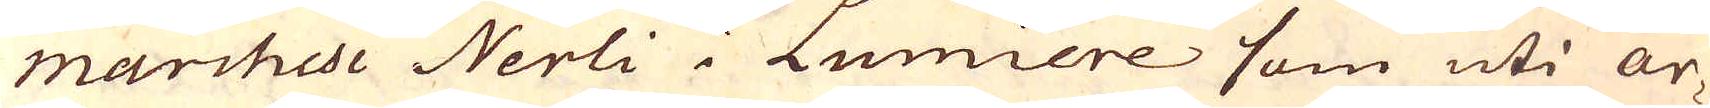marchese Nerli i Lumiere som uti ar-
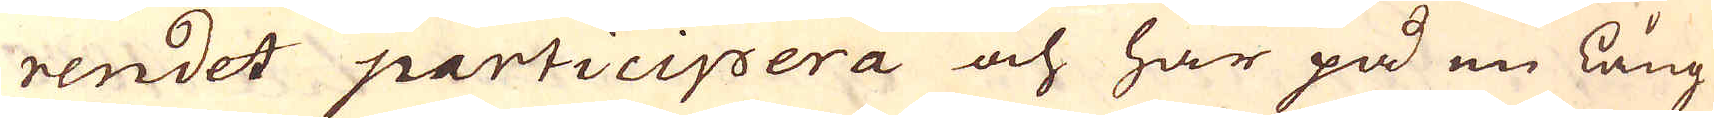rendet participera och har på en lång
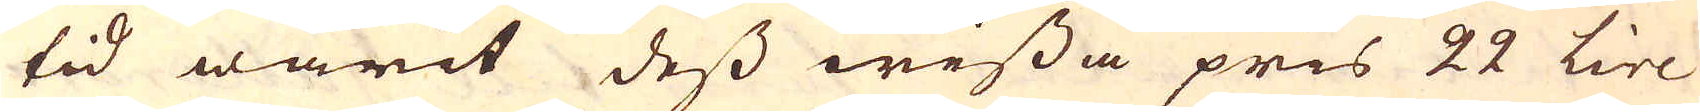tid warit dess wissa pris 22 Lire
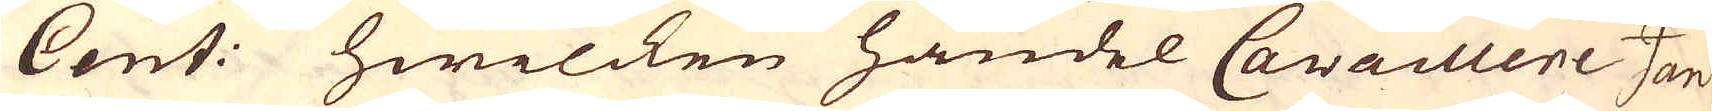Cent: hwilcken handel Cavaillere Jan
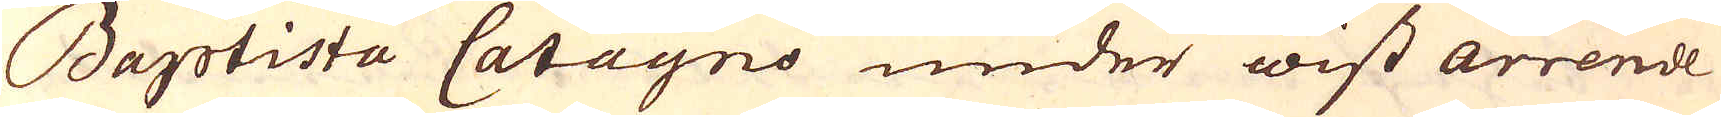Baptista Catagno under wist arrende
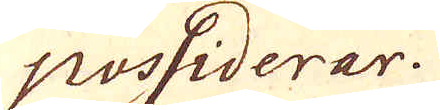possiderar.
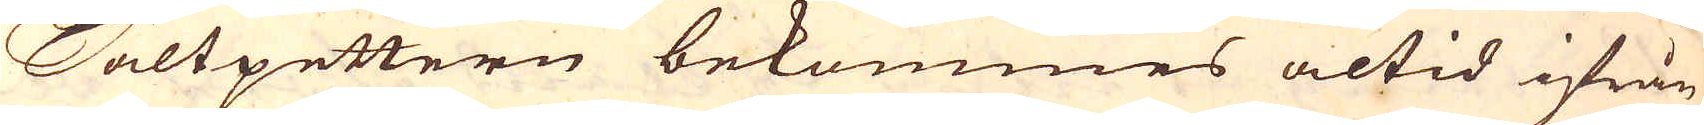Saltpettern bekommes altid ifrån
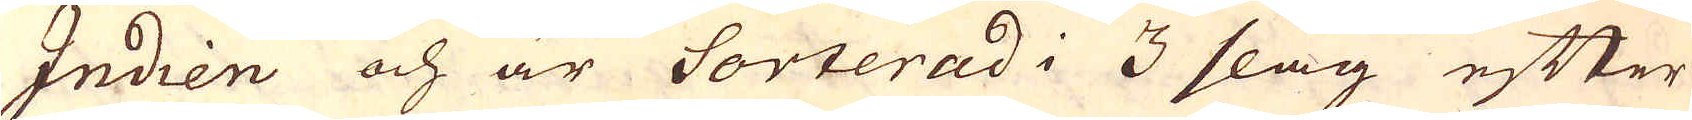Indien och är Sorterad i 3 slag efter
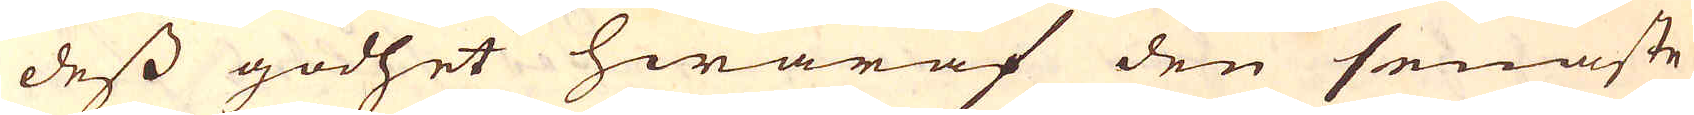dess godhet hwaraf den senaste
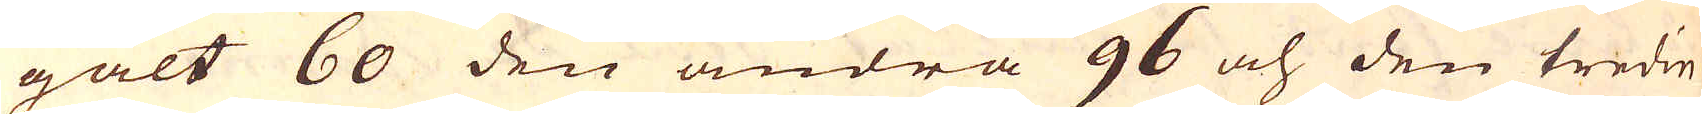galt 60 den andra 96 och den tredie
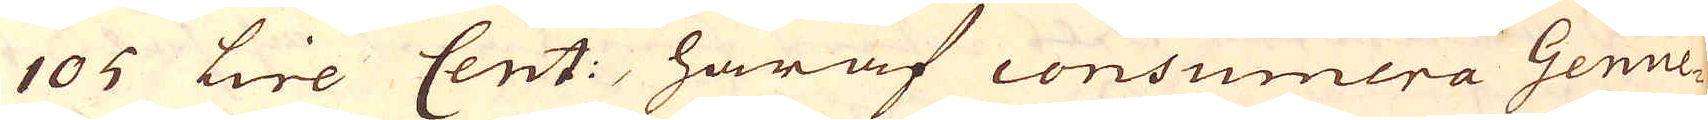105 Lire Cent:, häraf consumera Genue-
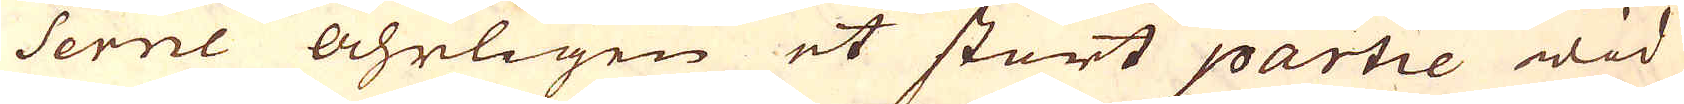serne åhrligen et stort partie wid
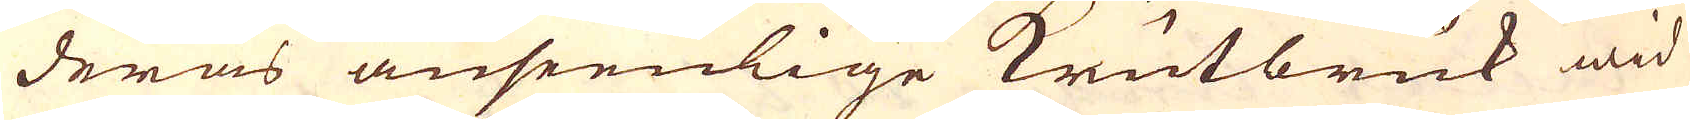deras anseenlige Krutbruk wid
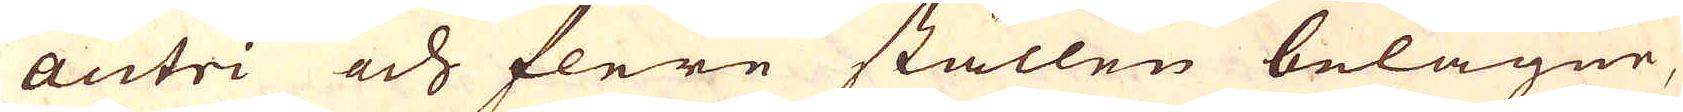Antri och flere ställen belägne,
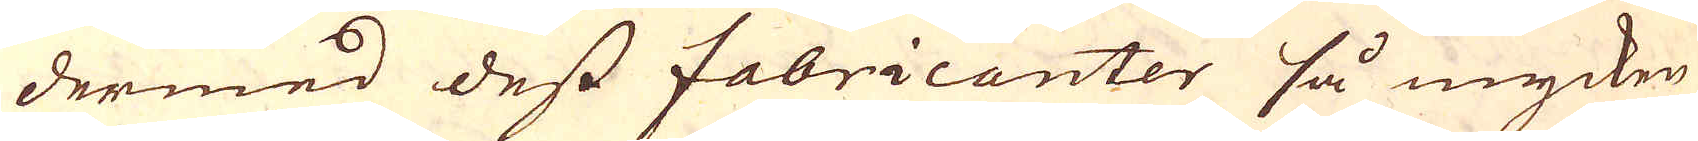dermed dess fabricanter så mycken
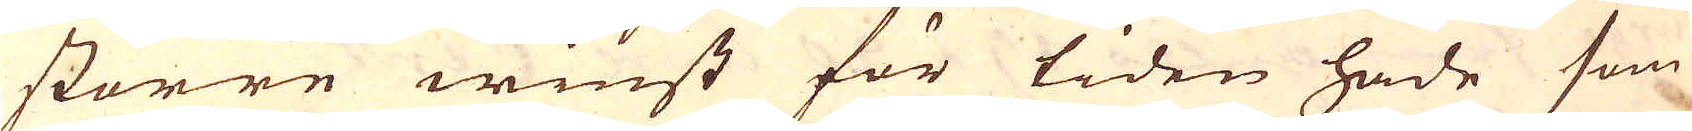större winst för tiden hade som
